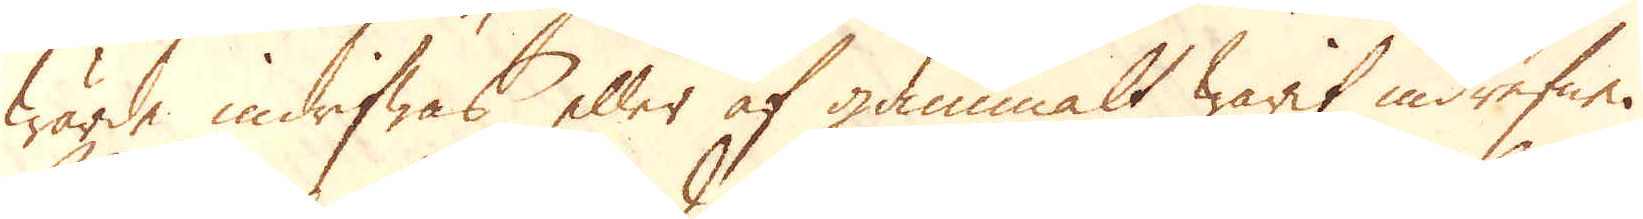wärde indrifwas eller af gammalt warit indrefne.
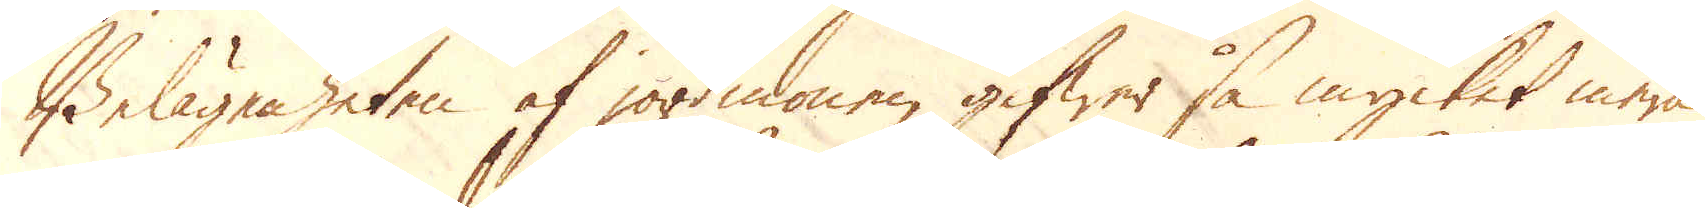Belägenheten af jordmonen gifwer så mycket mera
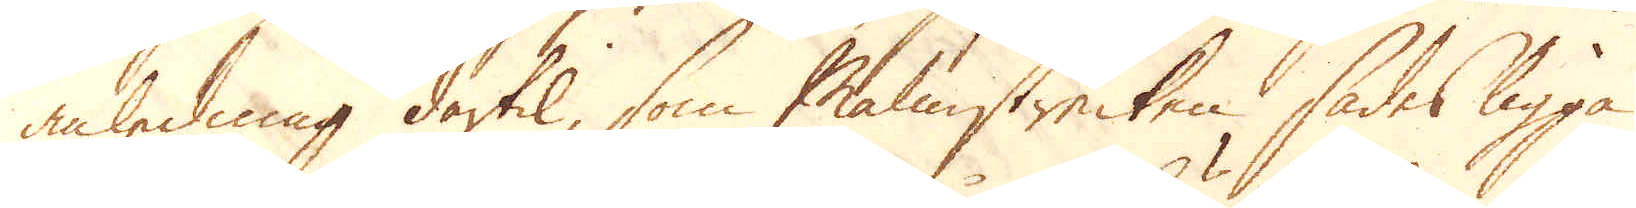anledning dertil, som Malmstrecken, sades ligga
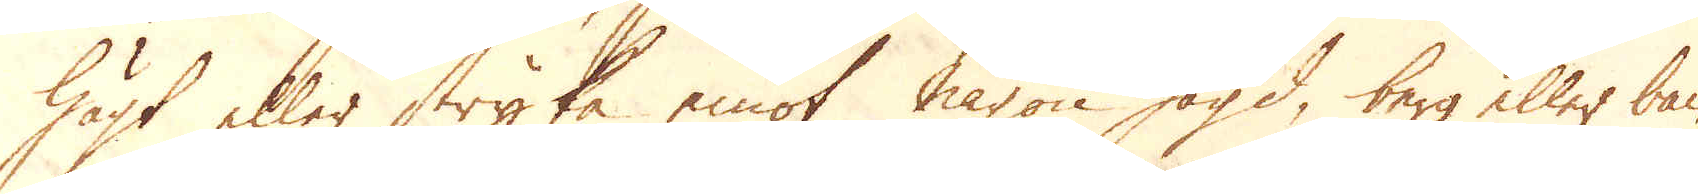högt eller stryka emot någon högd, berg eller bac-
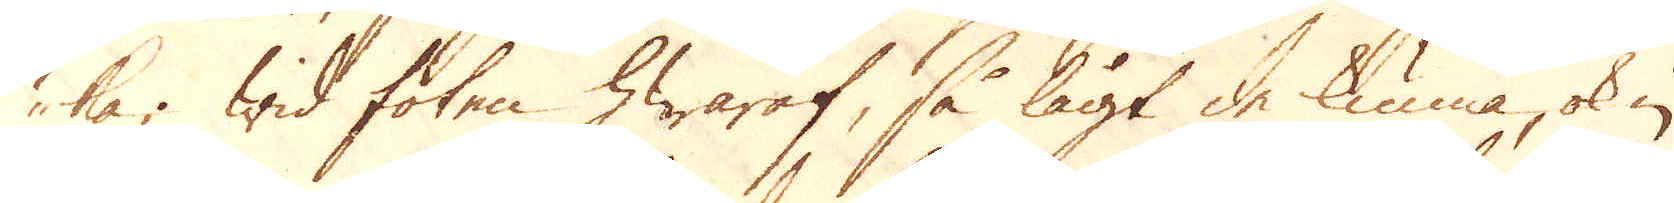ka; Wid foten hwaraf, så lågt de kunna ok in
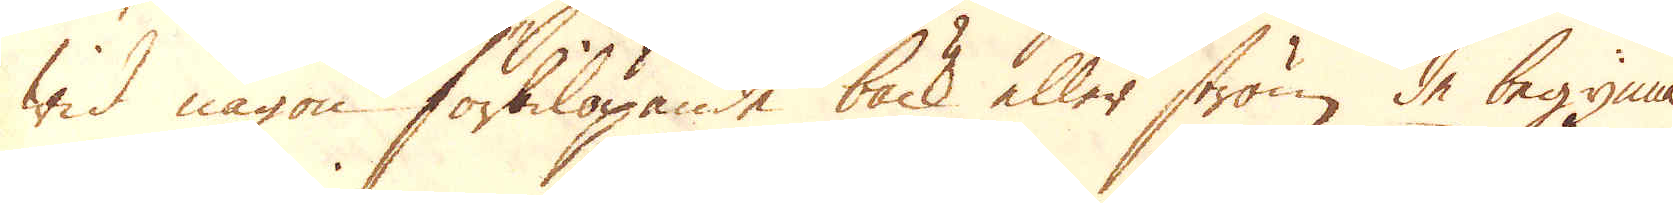wid någon förbilöpande bäck eller ström de begynna
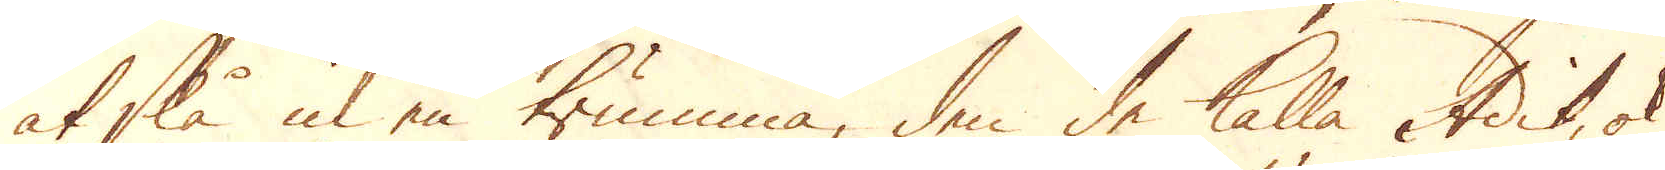at slå in en trumma, den de kalla Adit, ok
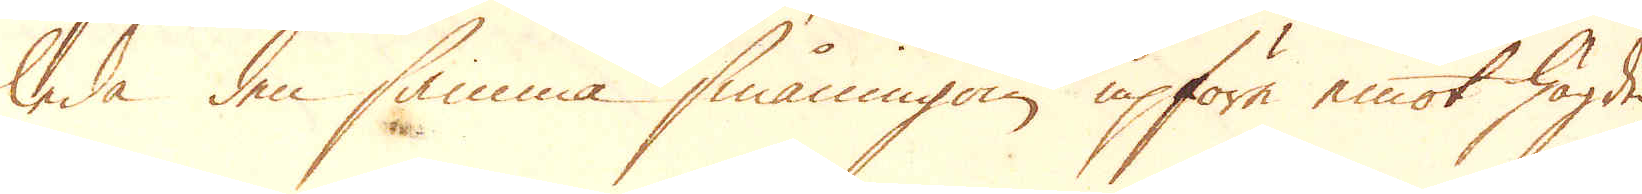leda den samma småningom upföre emot högden,
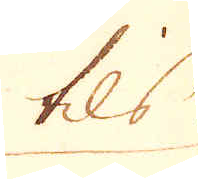tils
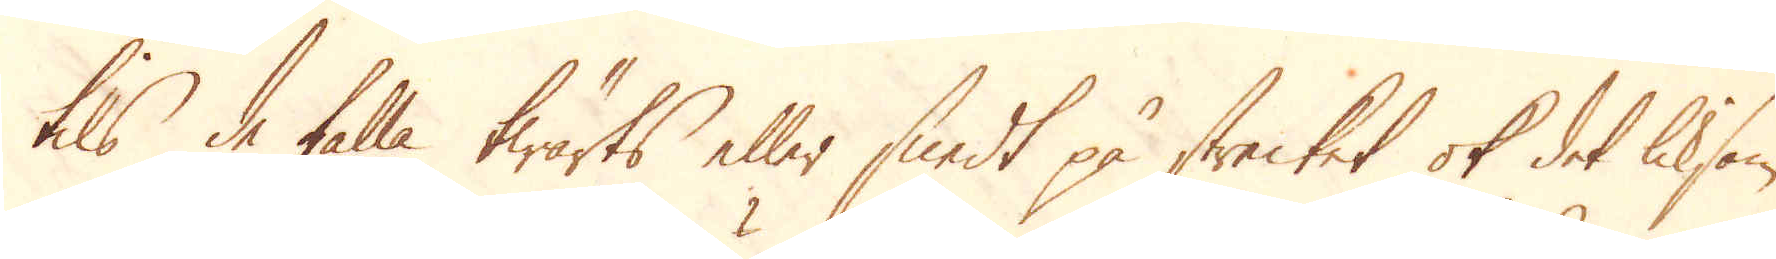tils de falla twärts eller snedt på strecket ok det liksom
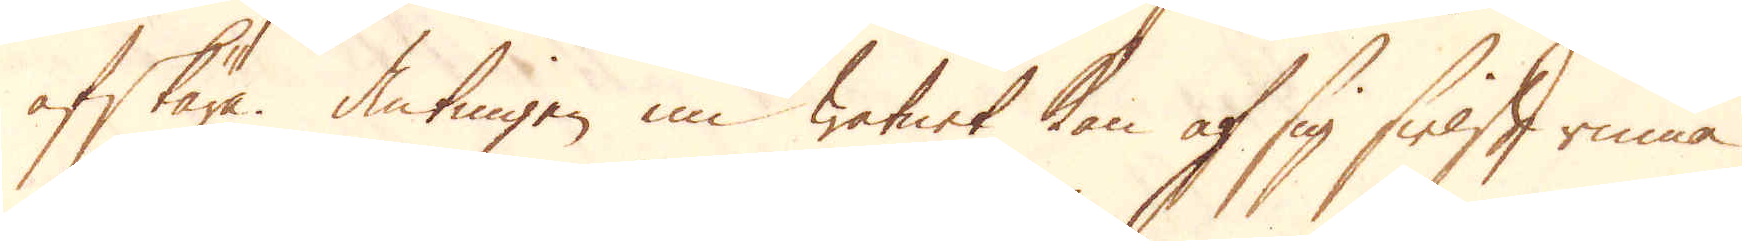afskära. Antingen nu watnet kan af sig sielft rinna
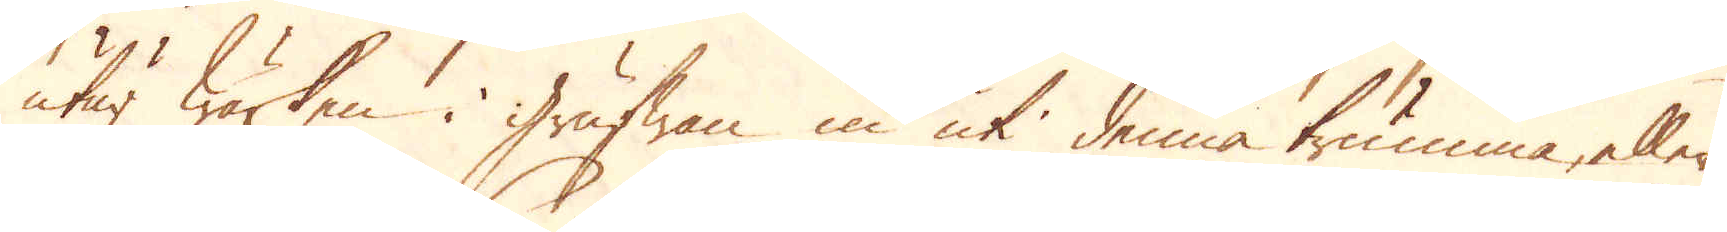utur Wärken i Grufwan in uti denna trumma, eller
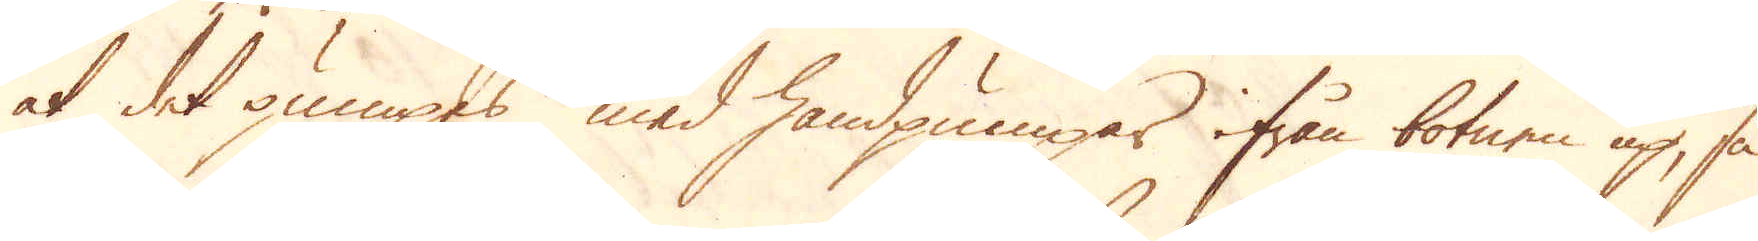at det pumpes med handpumpar ifrån botnen up, så
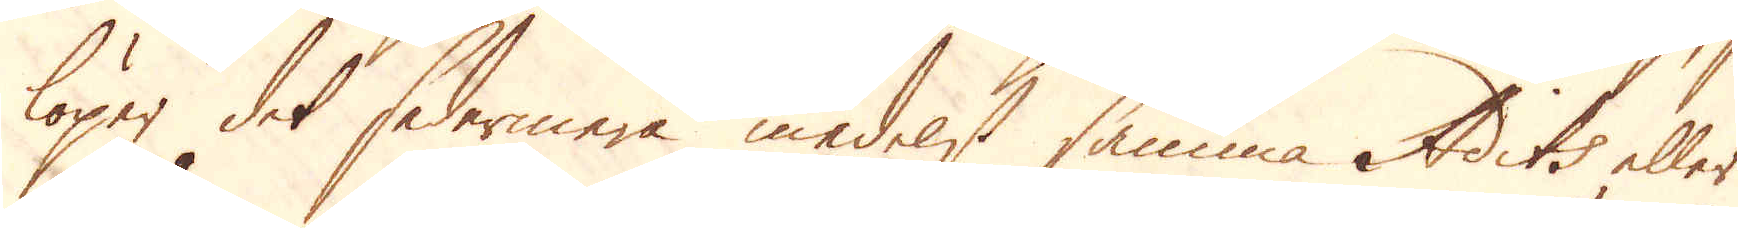löper det sedermera medelst samma Adits eller
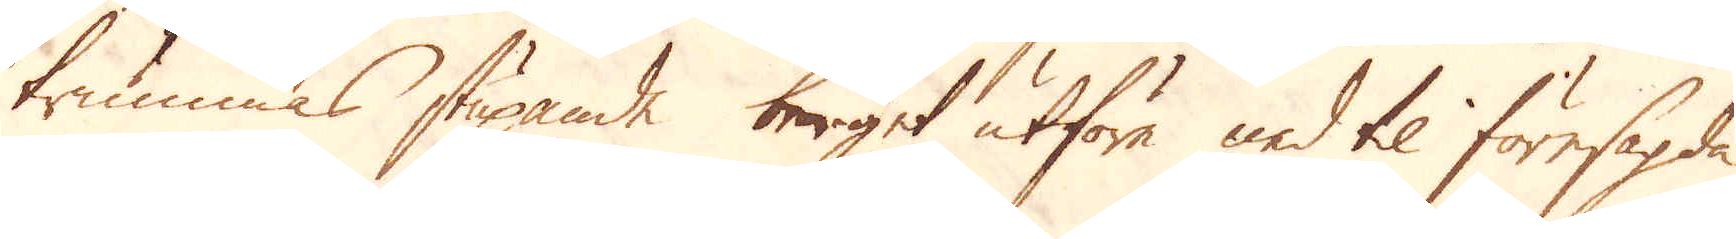trummas stupande berget utföre ned til föresagda
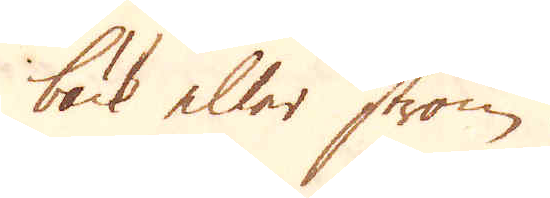bäck eller ström.
